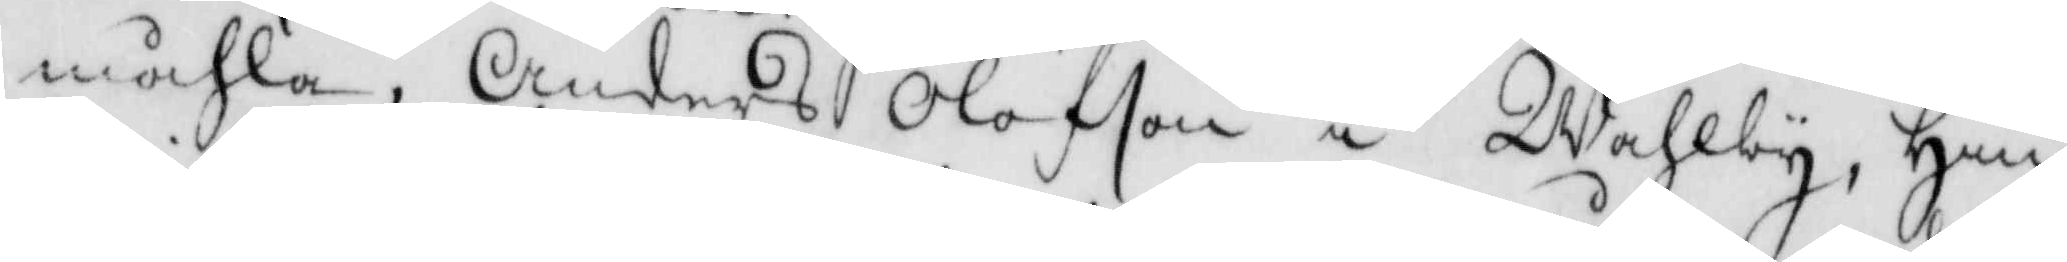måhla, Anders Olofson i Wahlby, Hin¬
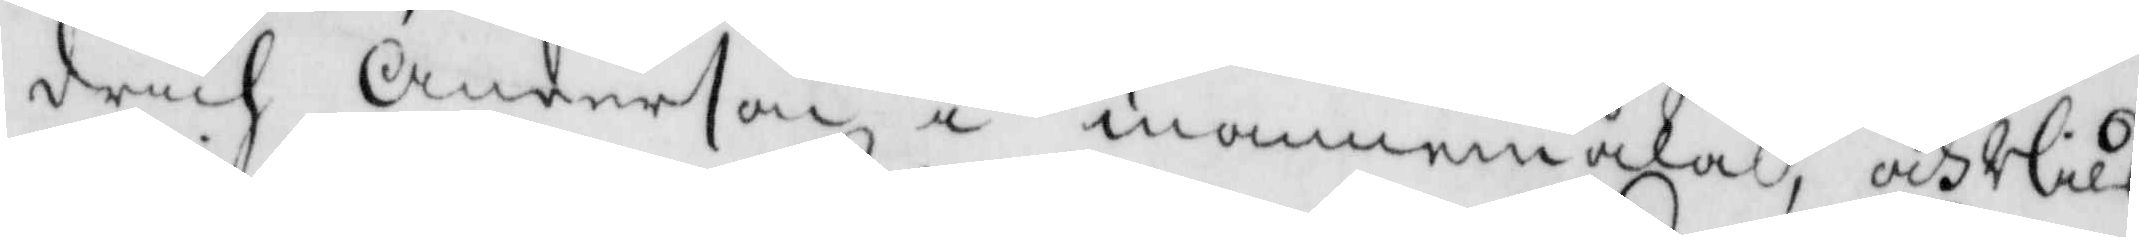drich Anderson i mannemåla, och Nils
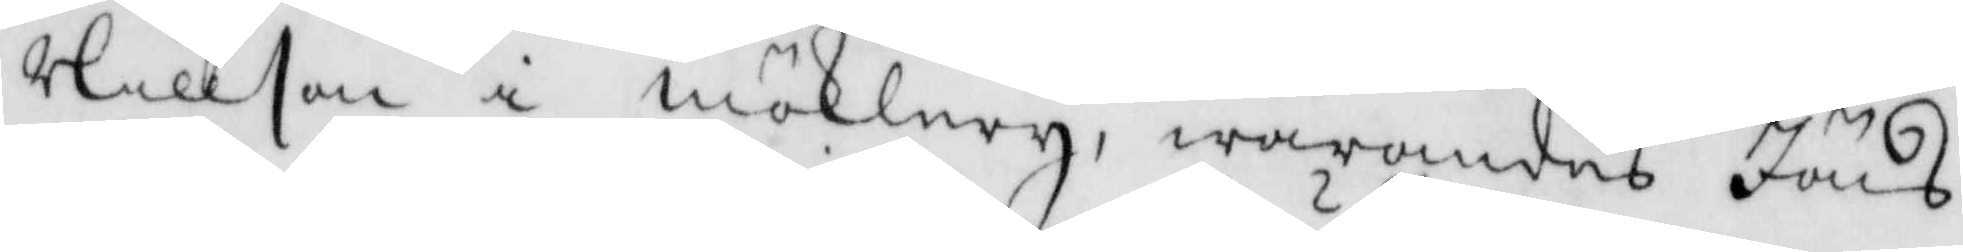Nillson i möklery, warandes Jöns
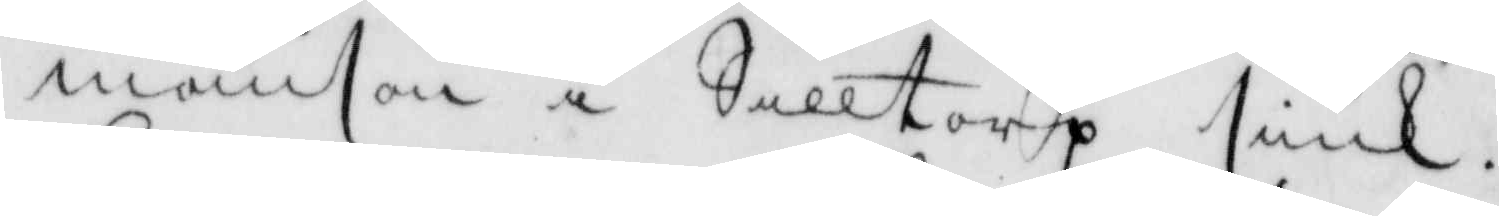månson i Silltorp siuk.
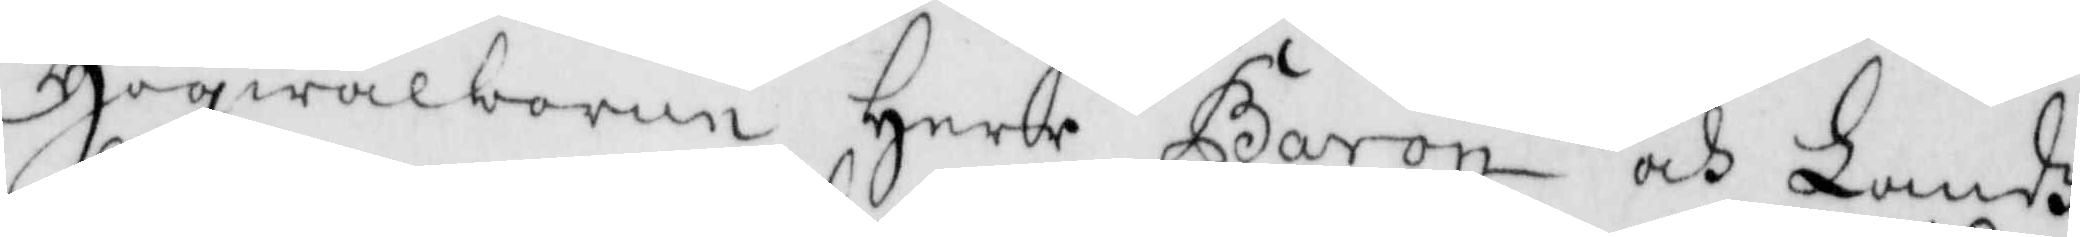Högwälborne Herre Baron och Landz¬
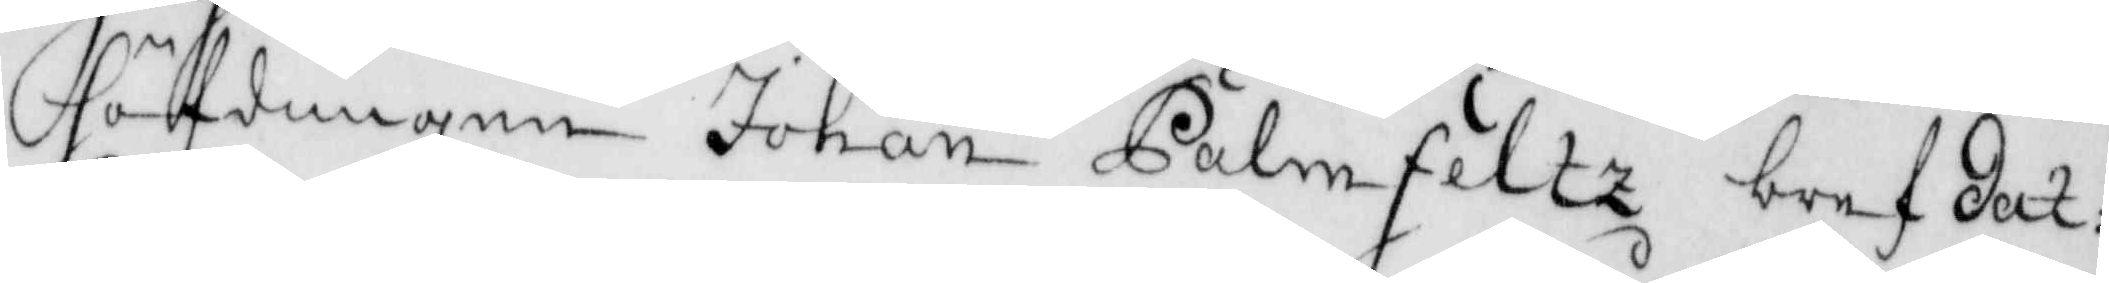höfdingen Johan Palmfeltz bref dat:
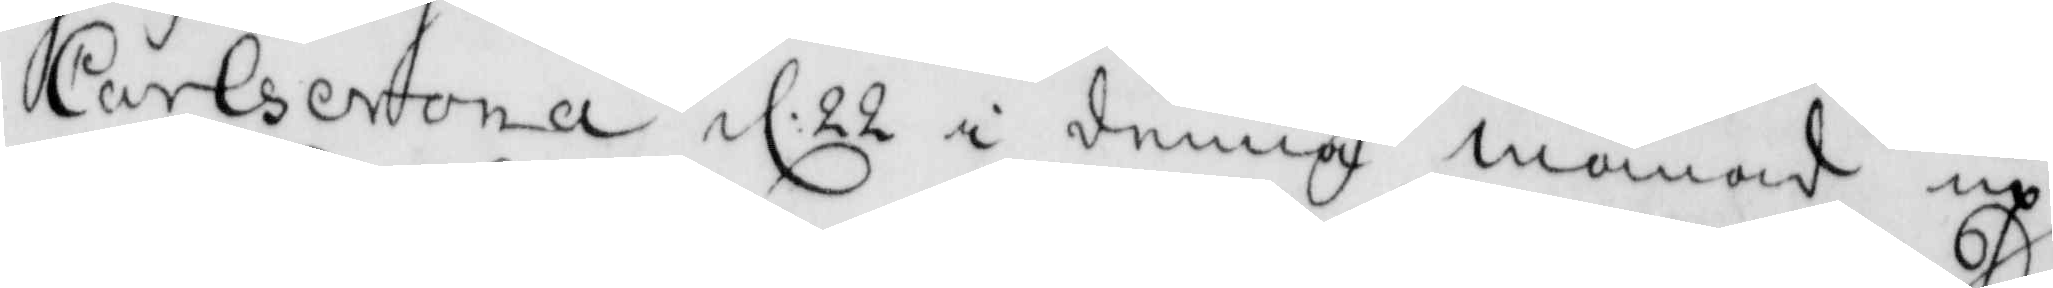Carlscrona d: 22 i denna månad up¬
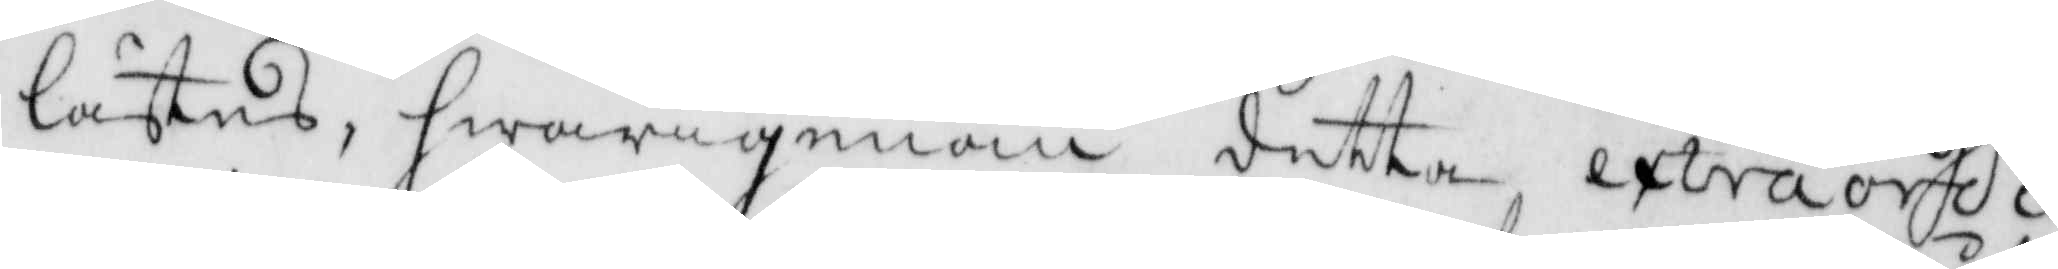lästes, hwarigenom detta extraordi¬
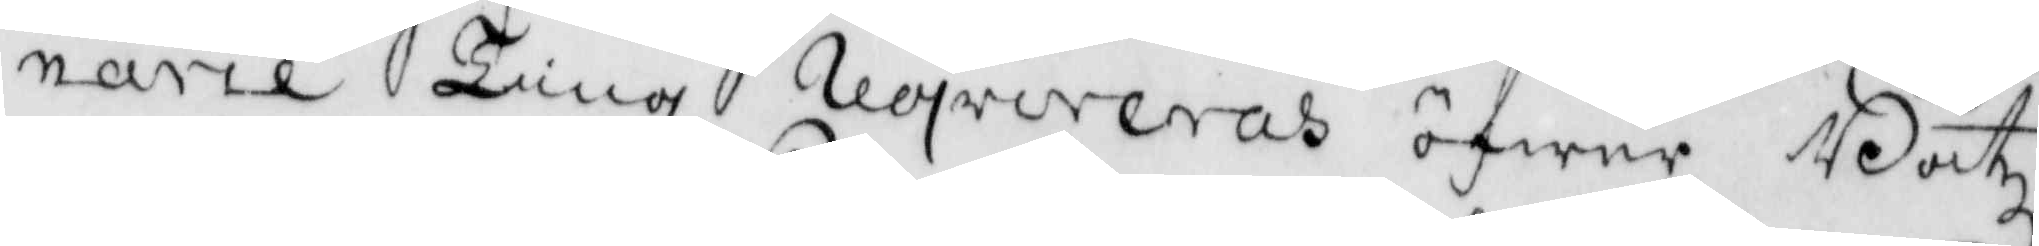narie Ting reqvireras öfwer Båtz¬
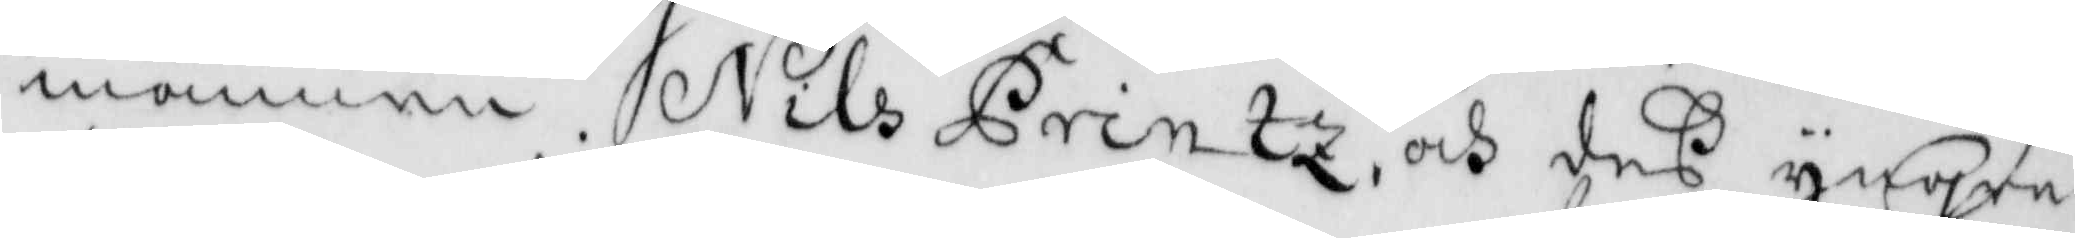mannen Nils Printz och des yngre
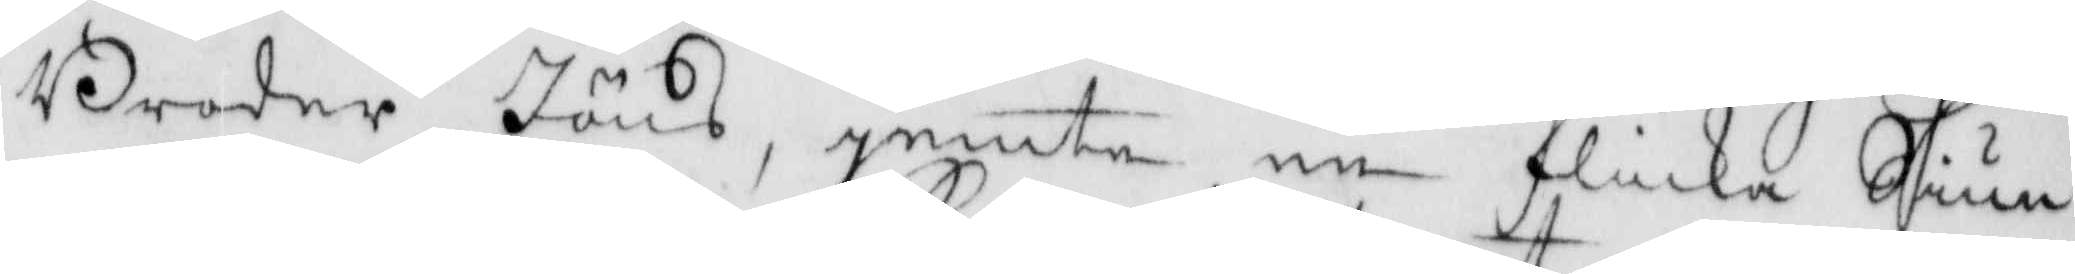Broder Jöns, jemte en flicka Siun¬
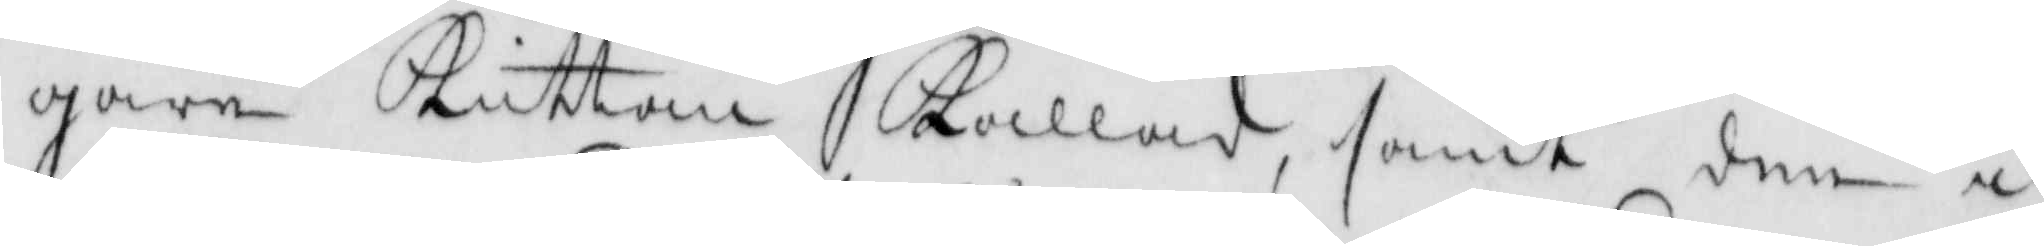gare Kuttan Kallad, samt den i
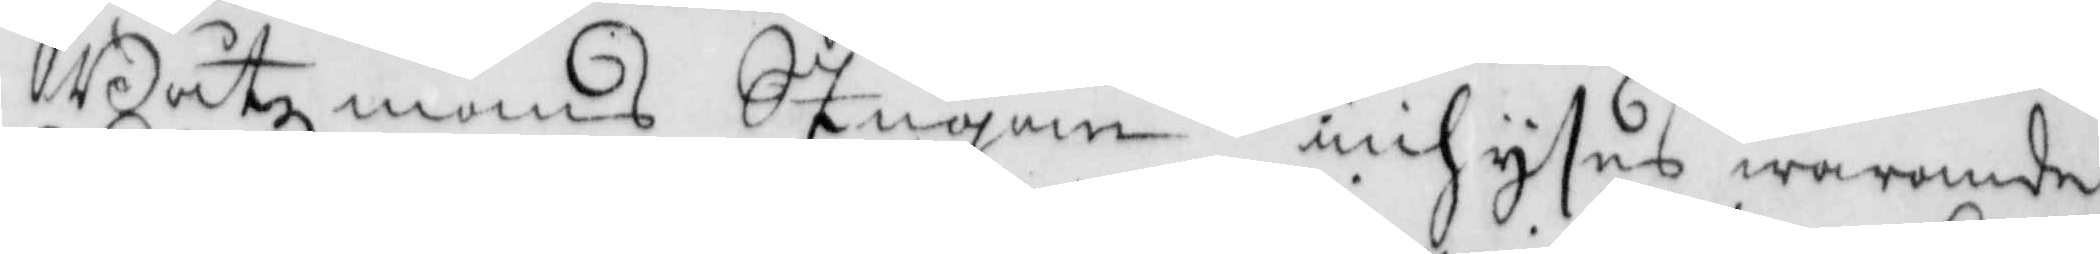Båtszmans Stugan inhyses warande
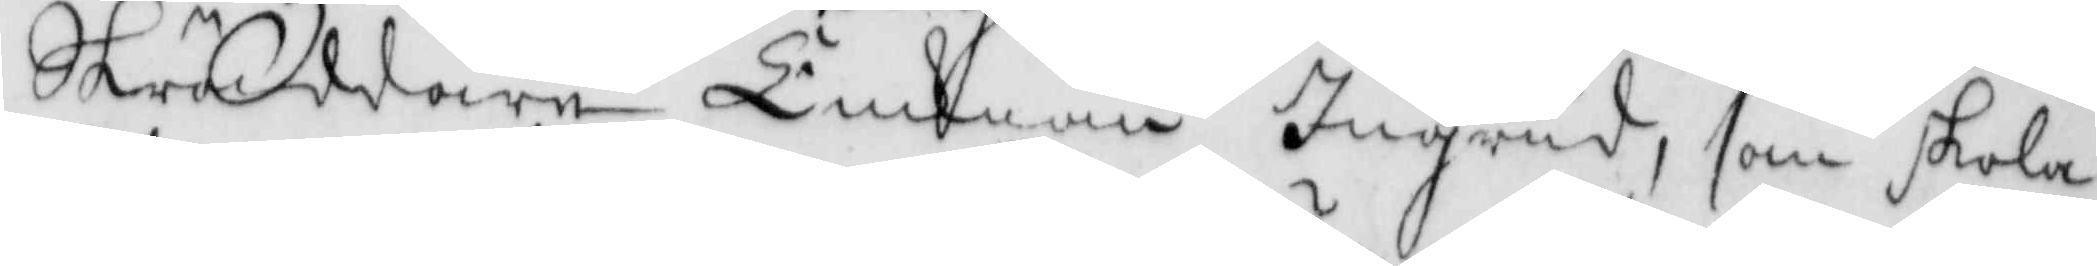Skräddare Finkian Ingrid, som skola 
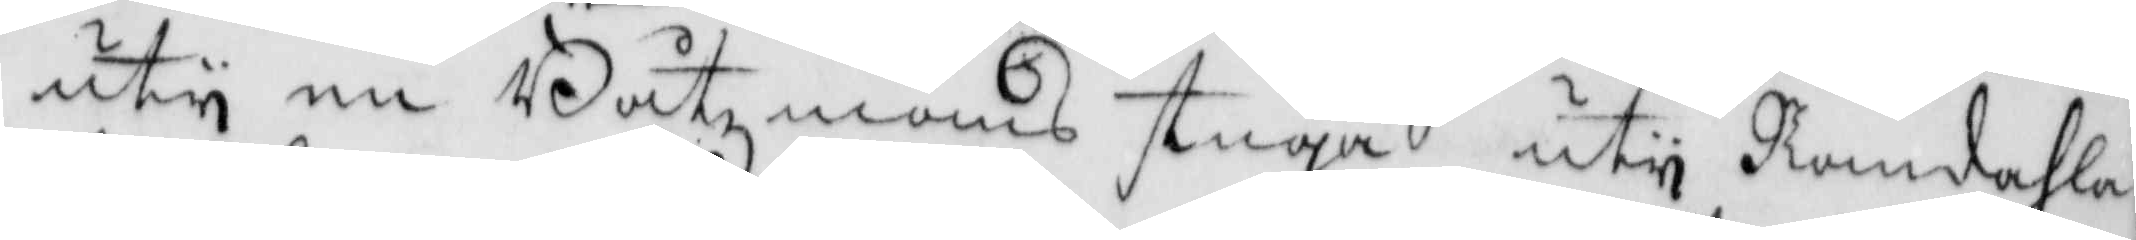uty en Båtzmans stuga uty Romdahla
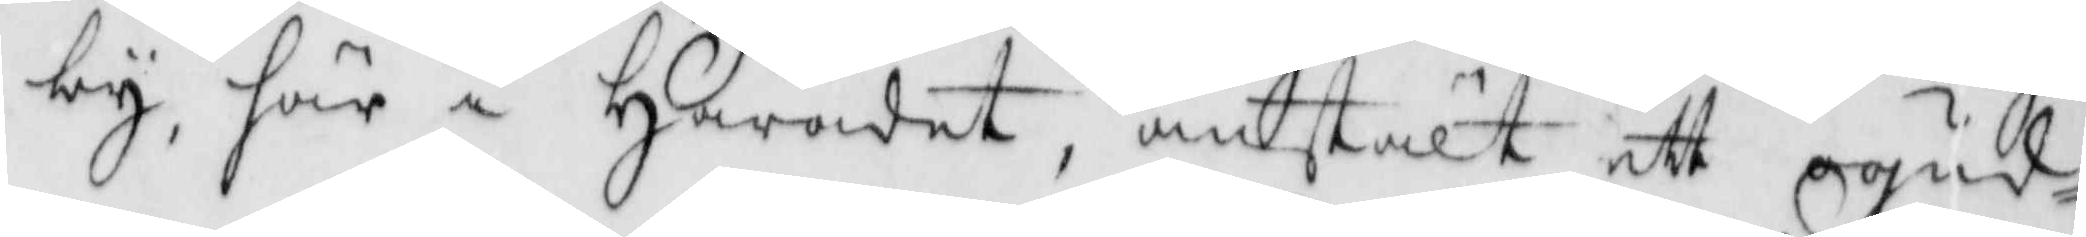by, här i Häradet, anstält ett ogud¬
